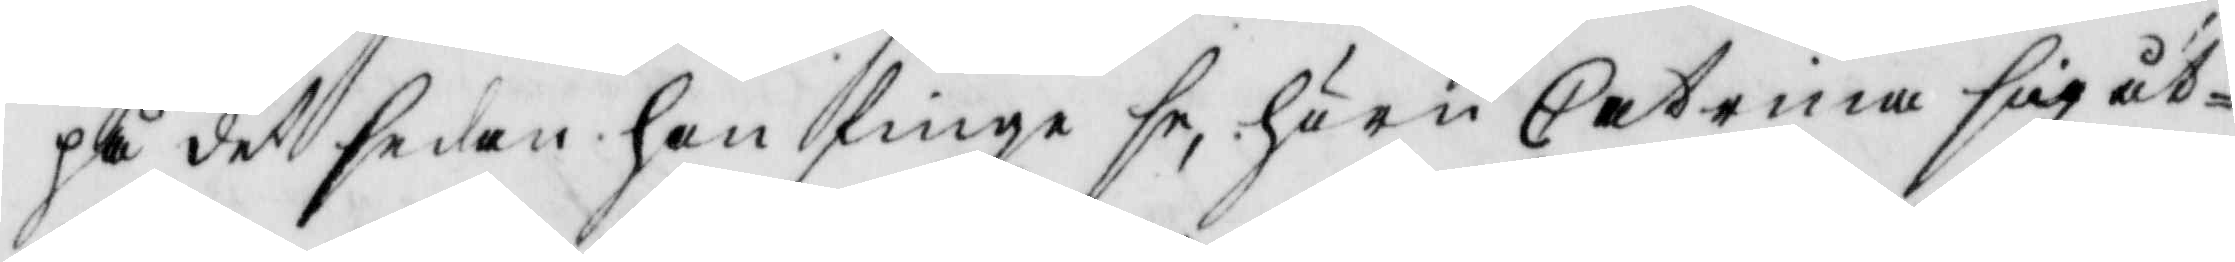på det sedan han finge se, huru Catrina sig åt¬
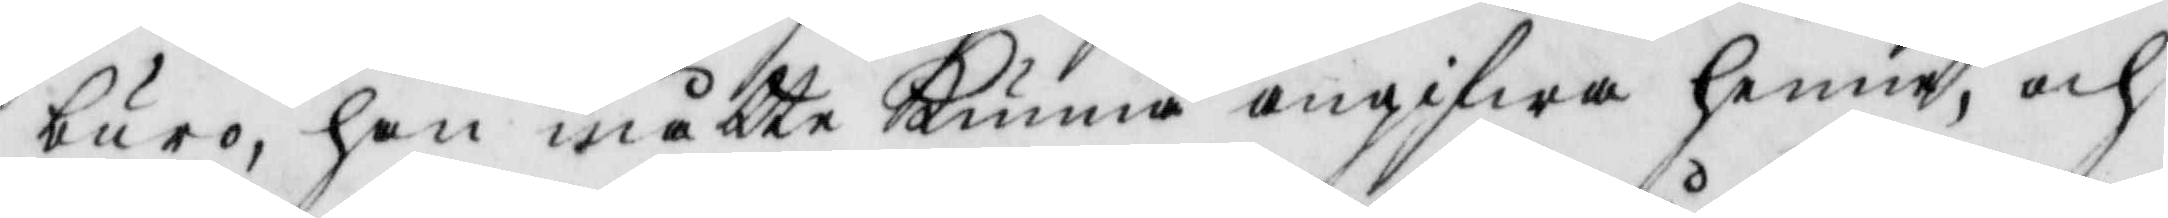buro, han måtte kunna angifwa henne, och
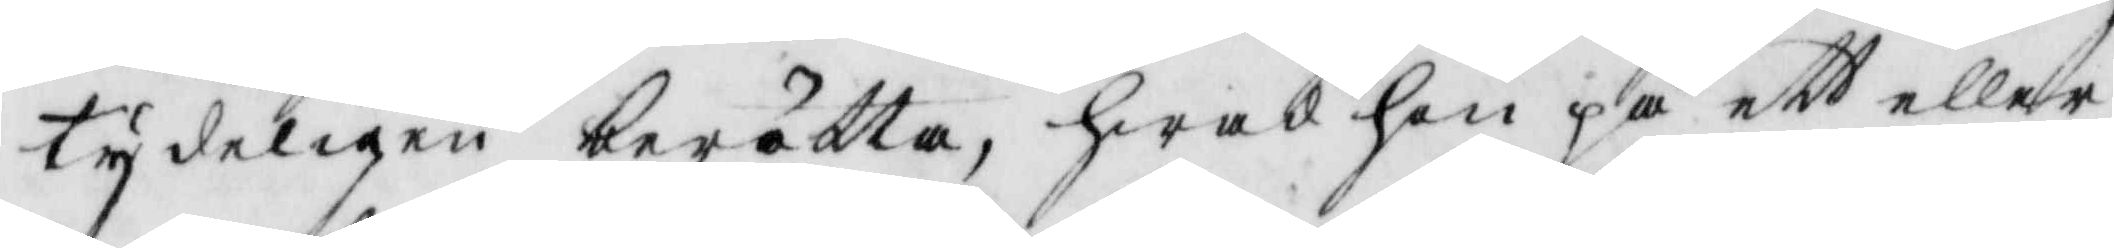tydeligen berätta, hwad hon på ett eller
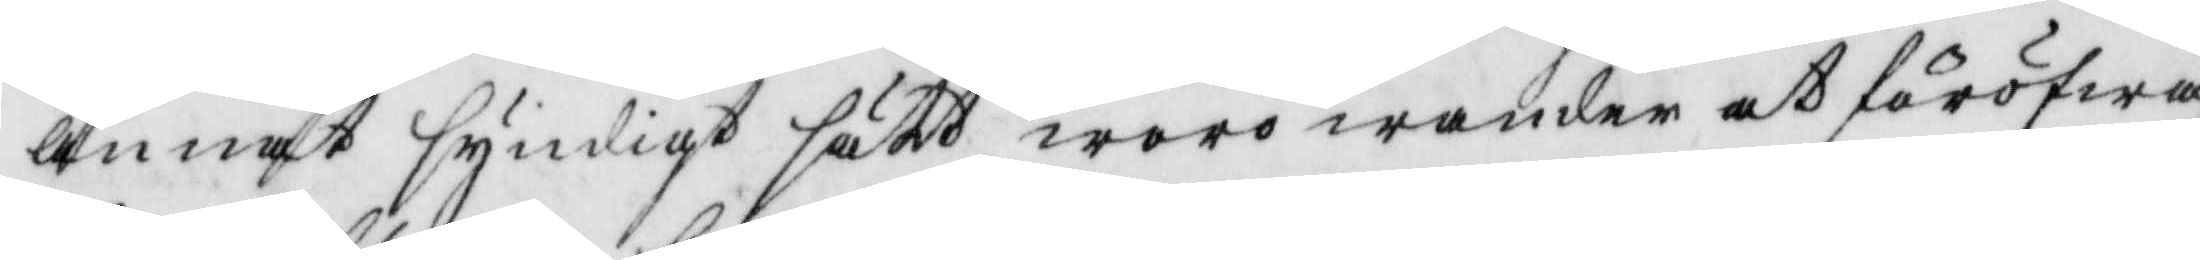annat syndigt sätt woro wander at föröfwa,
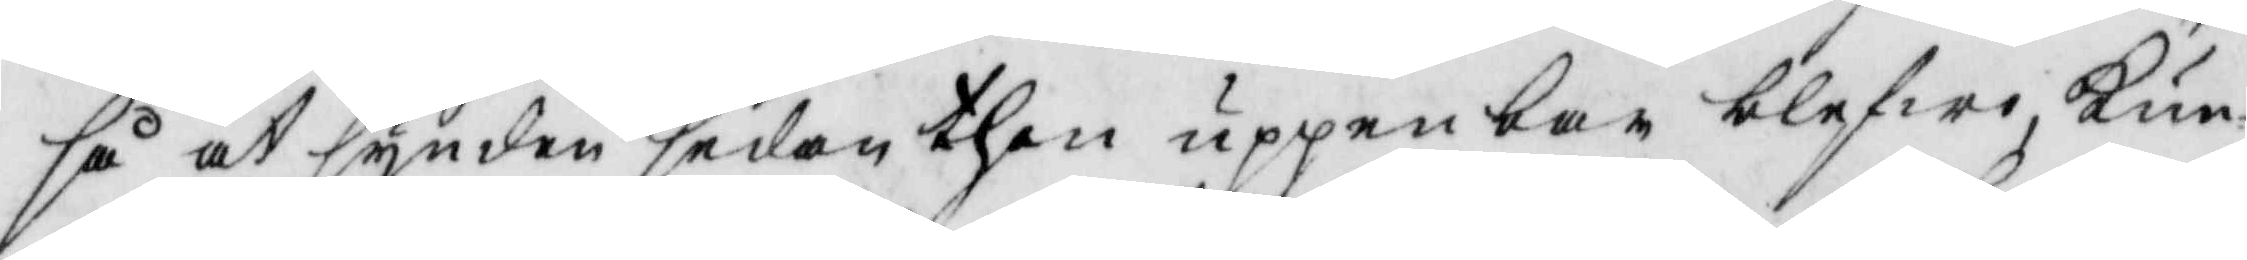så at synden sedan then uppenbar blefwo, Kun¬
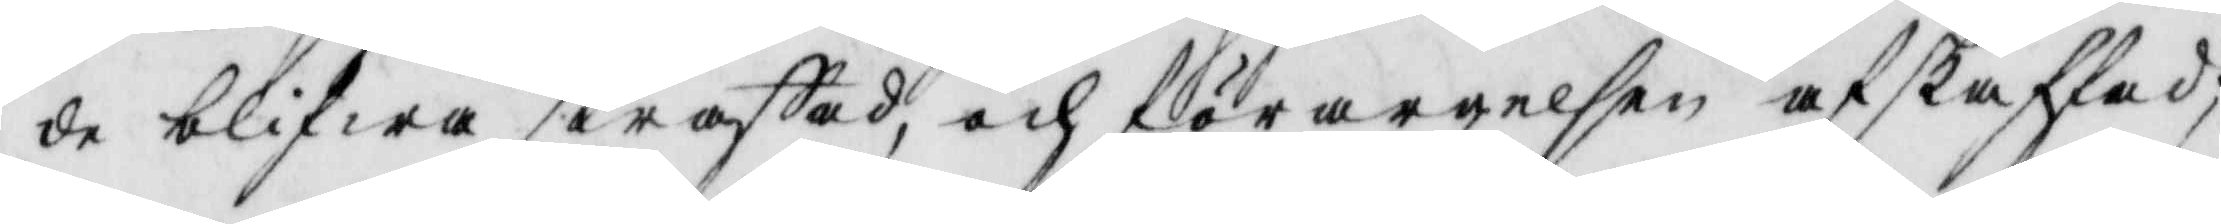de blifwa straffad, och förargelsen af skaffad;
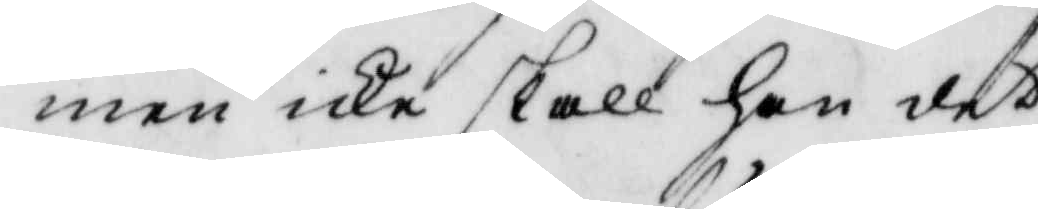men icke skall han det
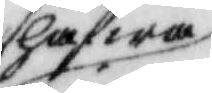hafwa
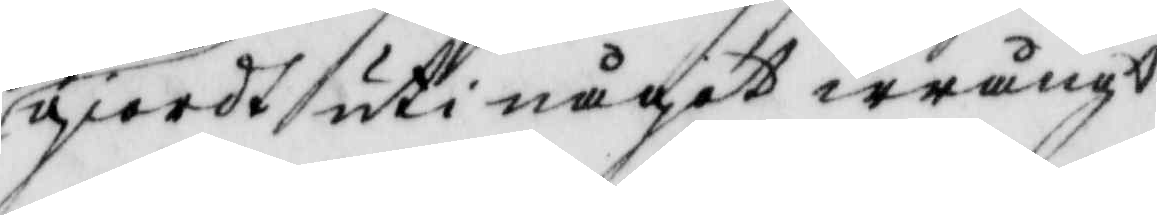giordt uti något wrångt
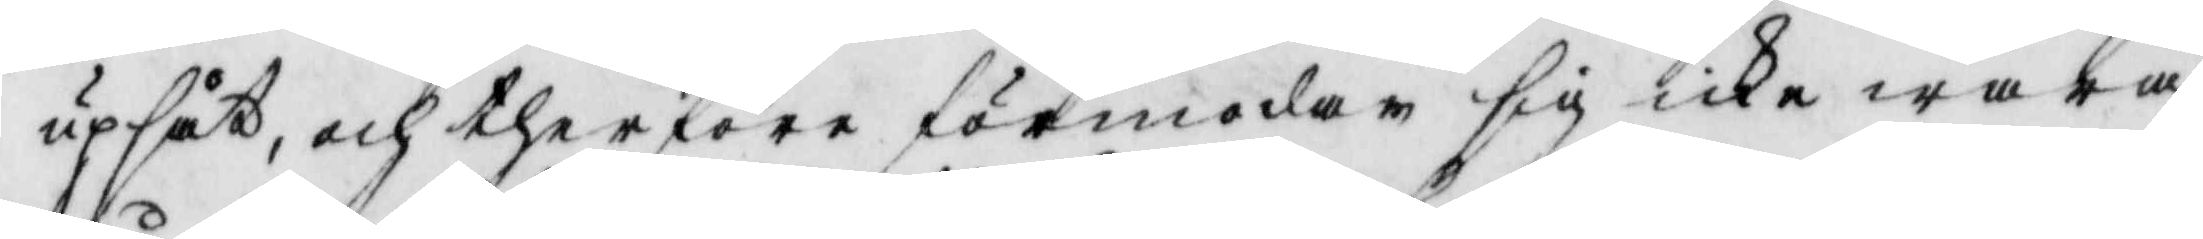upsåt, och therföre förmodar sig icke wara
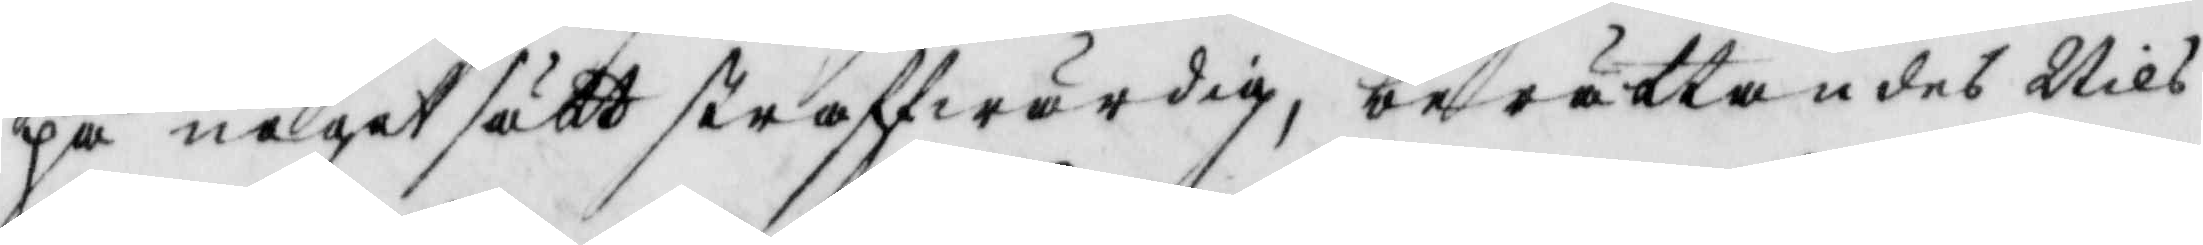på något sätt straffwärdig, berättandes Nils
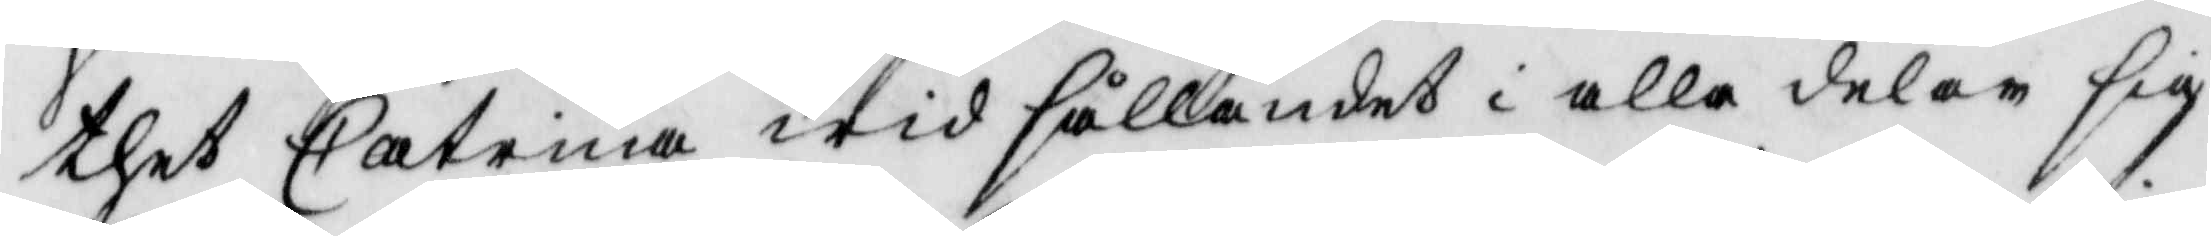thet Catrina wid sållandet i alla delar sig
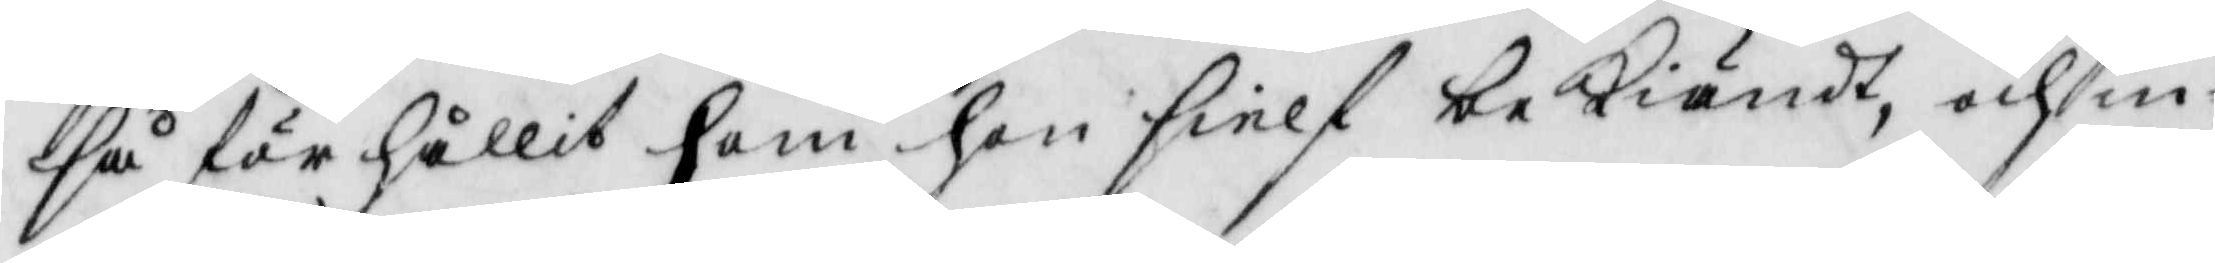så för hållit som han sielf bekiändt, och in¬
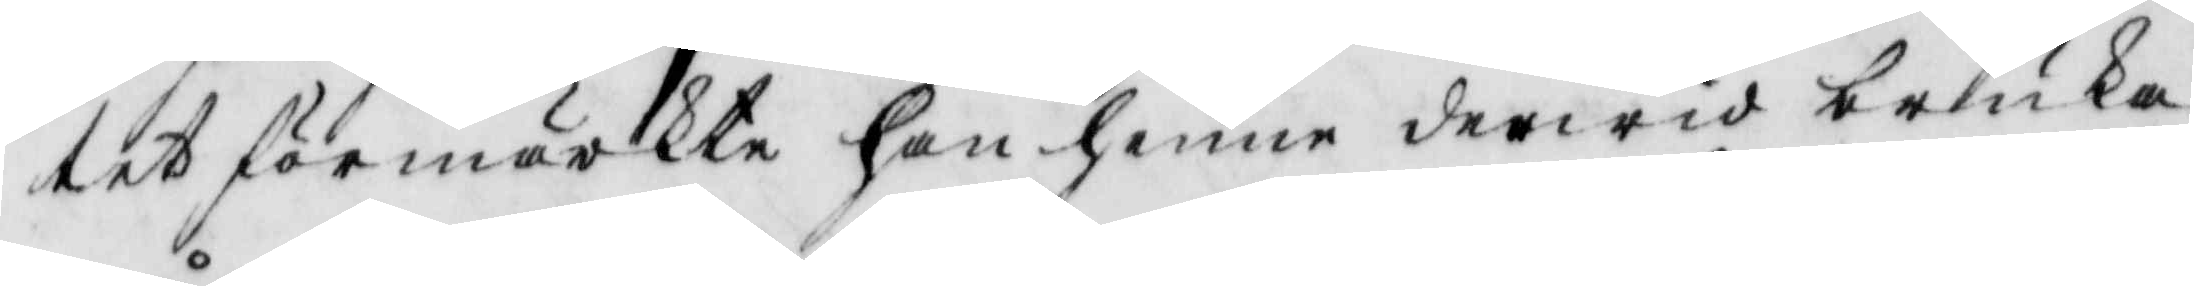tet förmärkte han henne derwid bruka
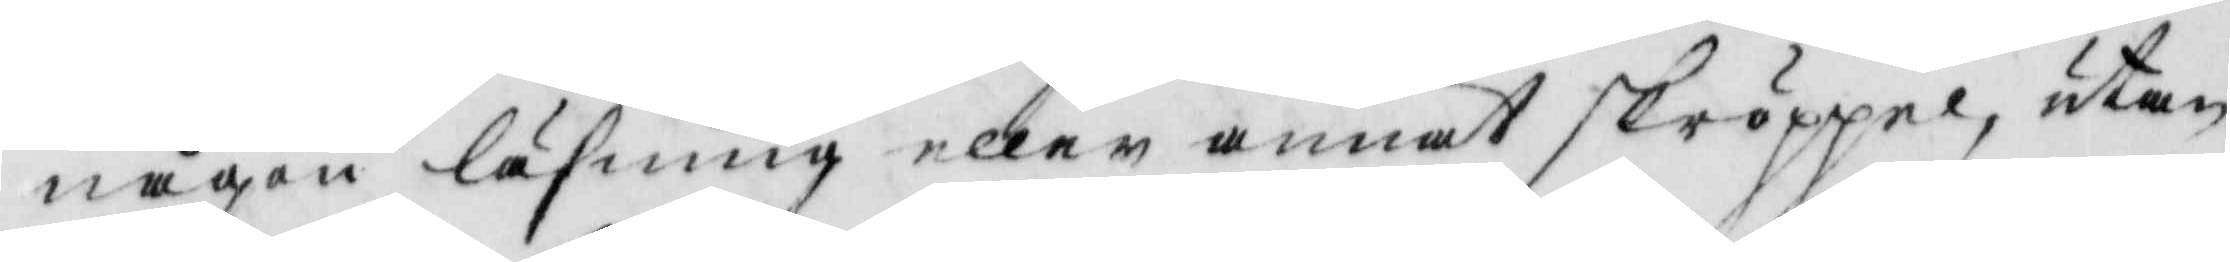någon läsning eller annat skröppel, utan
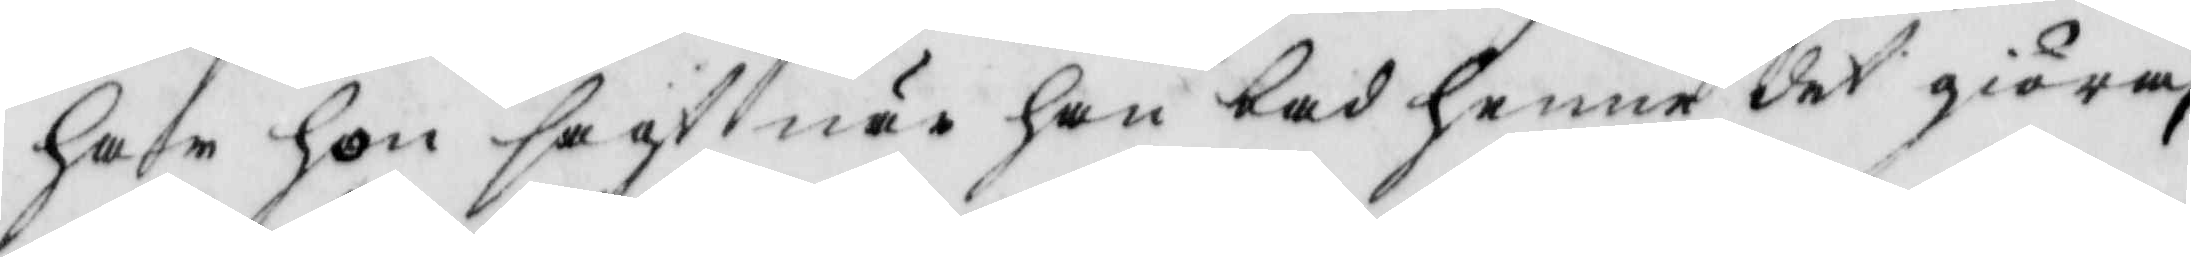har hon sagt när han bad henne det giöra,
